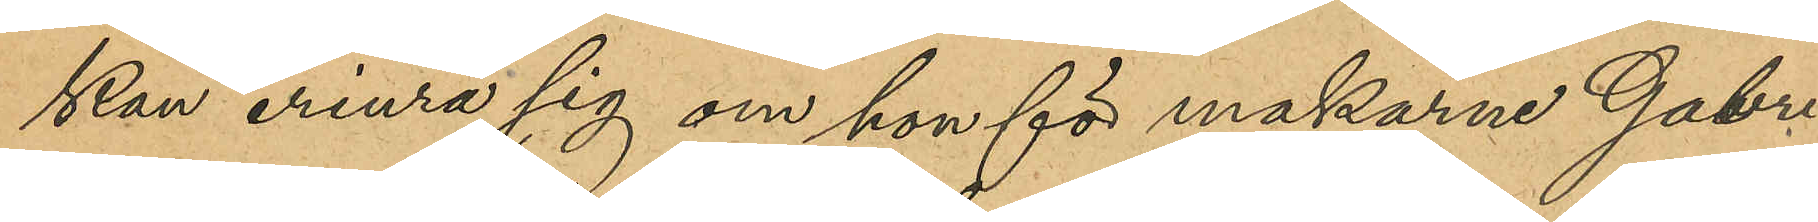kan erinra sig om hon för makarne Gabri¬
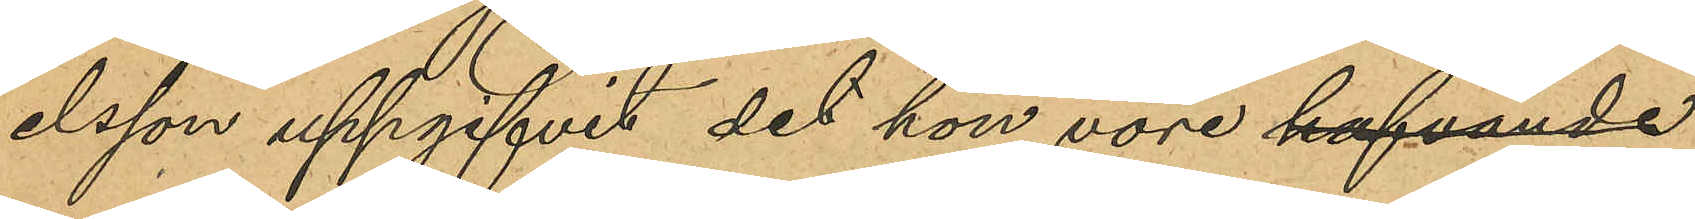elsson uppgifvit det hon vore hafvande
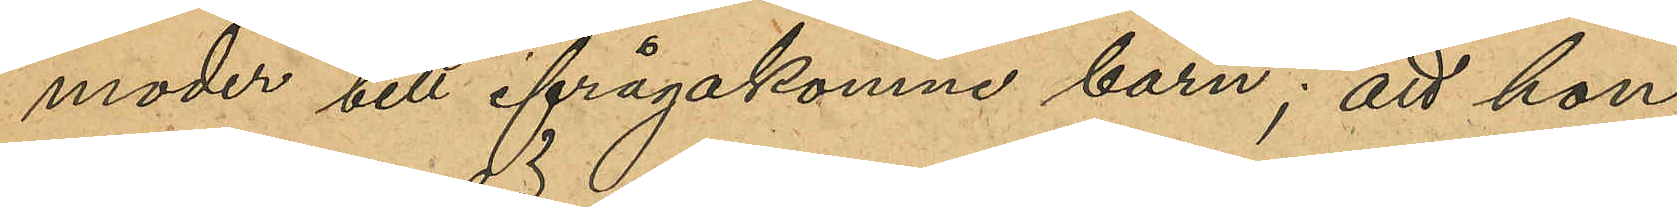moder till ifrågakomne barn; att hon
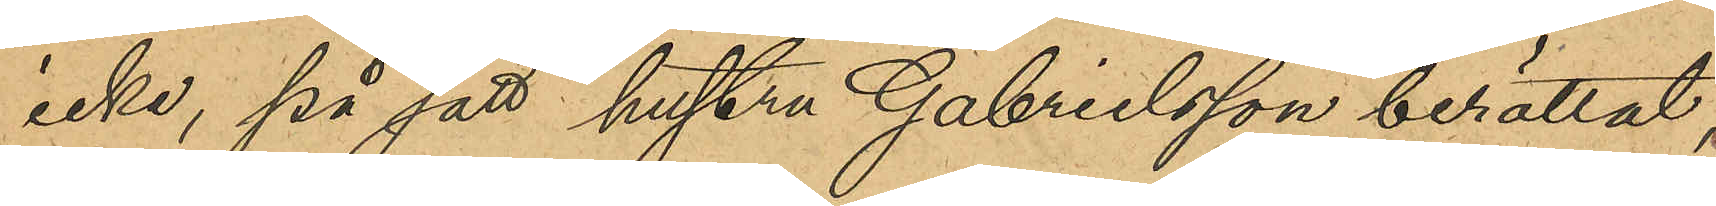icke, på sätt hustru Gabrielsson berättat,
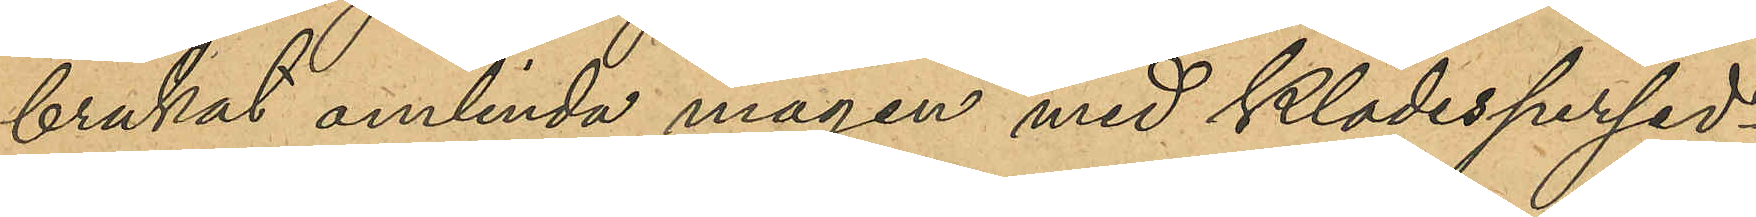brukat omlinda magen med klädespersed¬
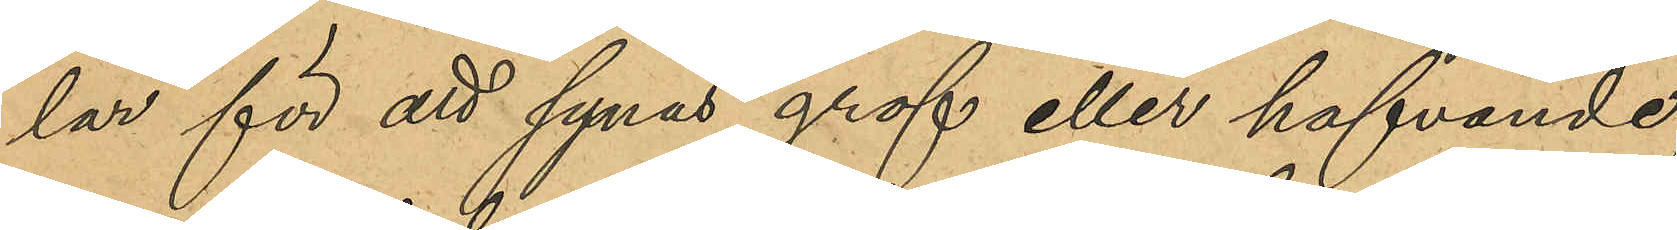lar för att synas grof eller hafvande;
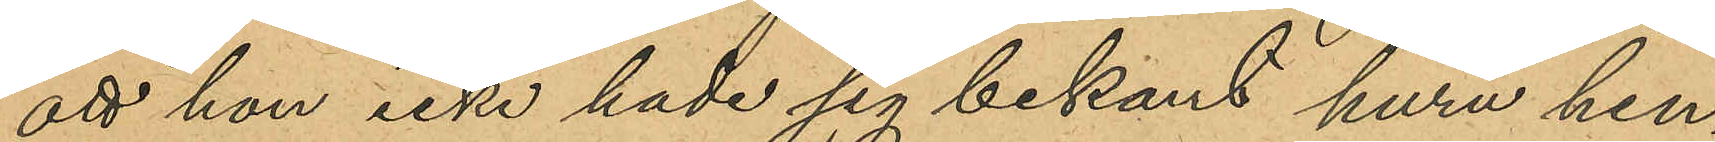att hon icke hade sig bekant huru hen¬
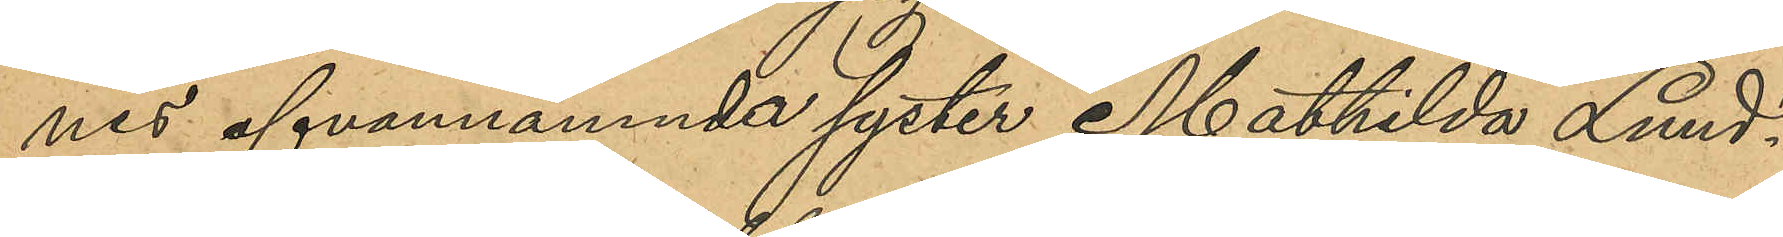nes ofvannämnde syster Mathilda Lund¬
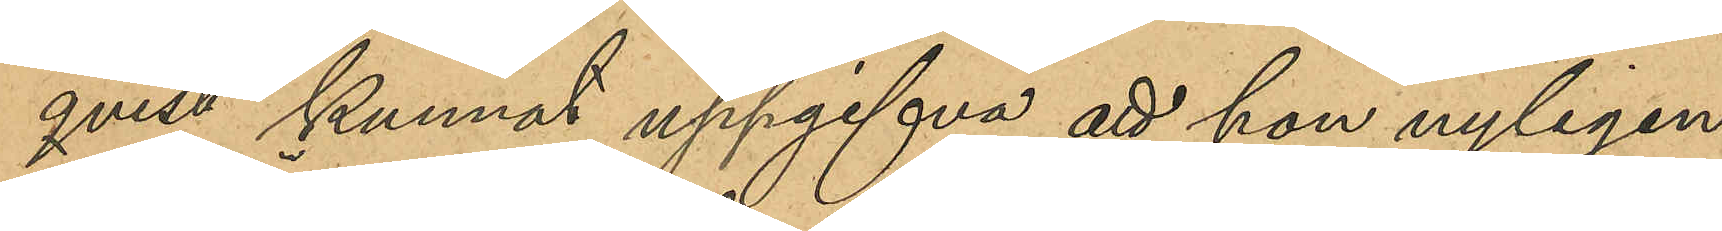qvist kunnat uppgifva att hon nyligen
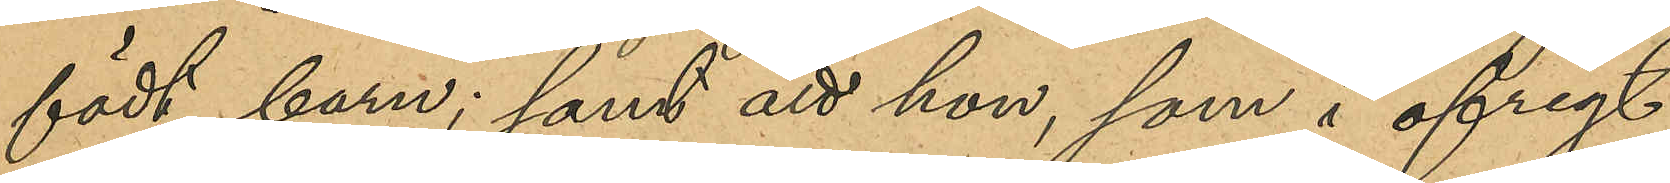födt barn; samt att hon, som i öfrigt
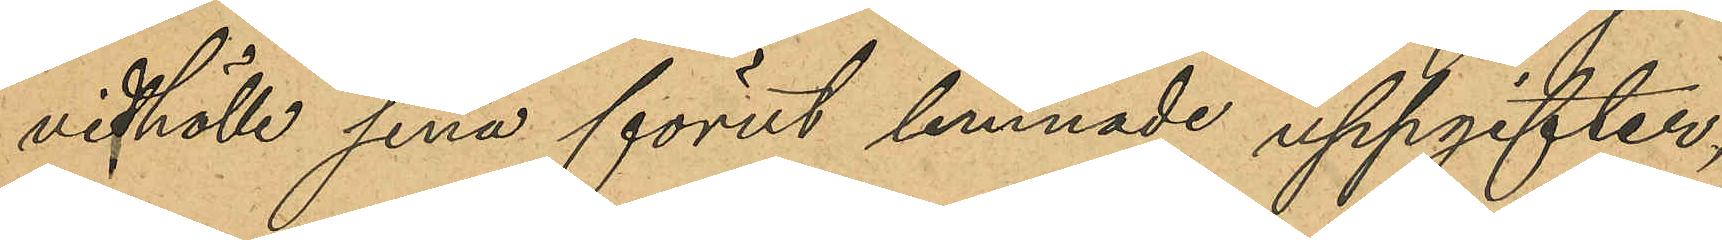vidhöll sina förut lemande uppgifter,
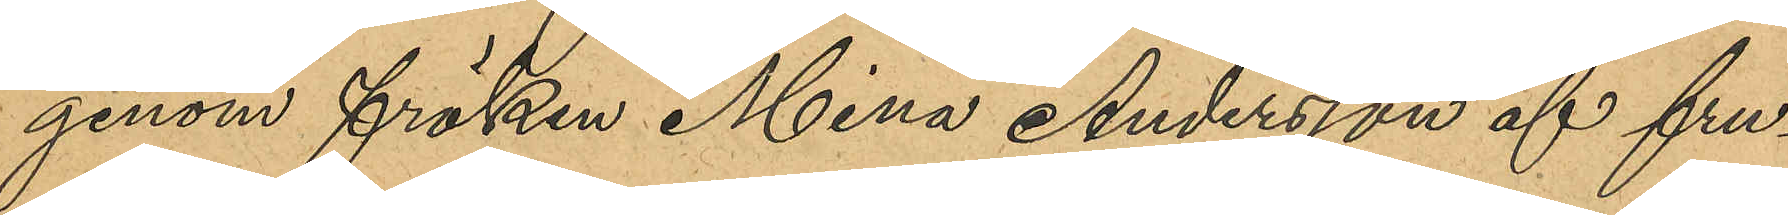genom fröken Mina Andersson af fru¬
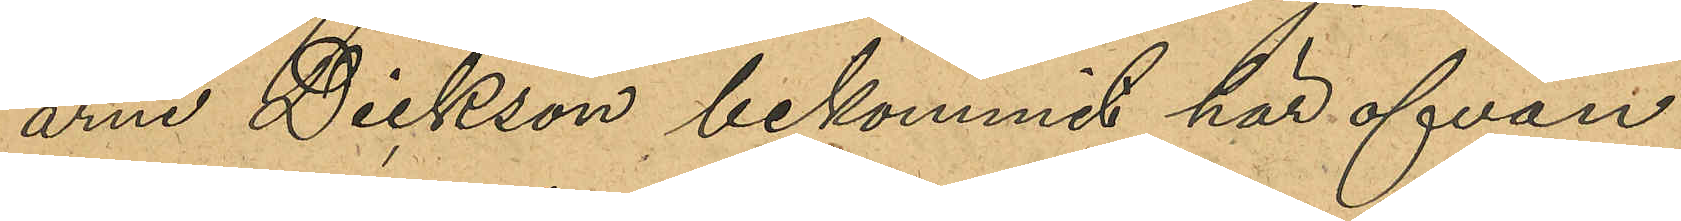arne Dickson bekommit här ofvan
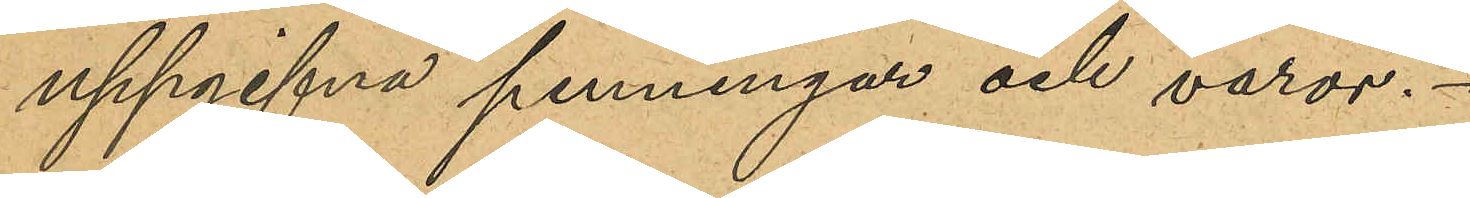uppgifna penningar och varor.
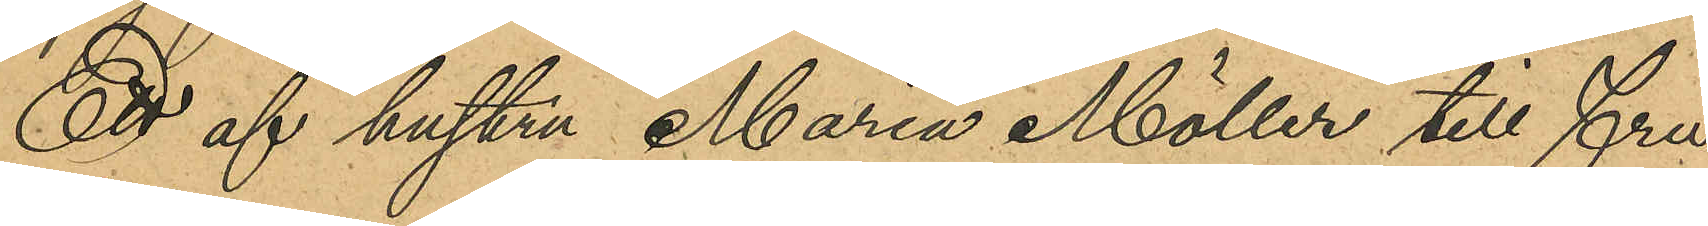Ett af hustru Maria Möller till fru
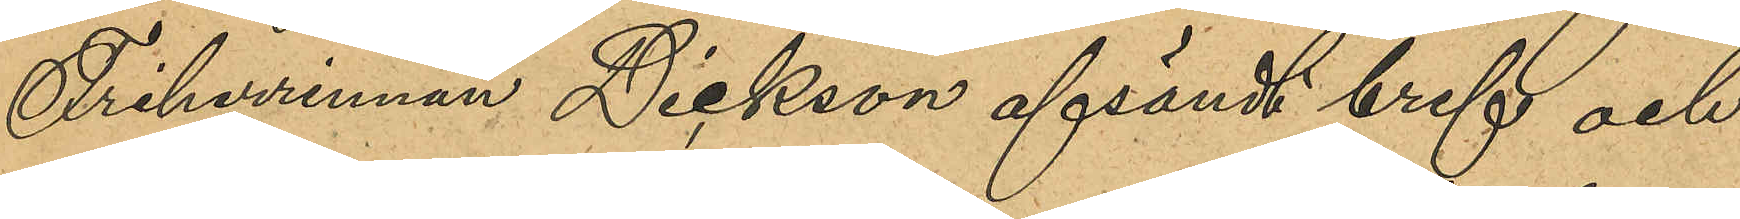Friherrinnan Dickson afsändt bref och
